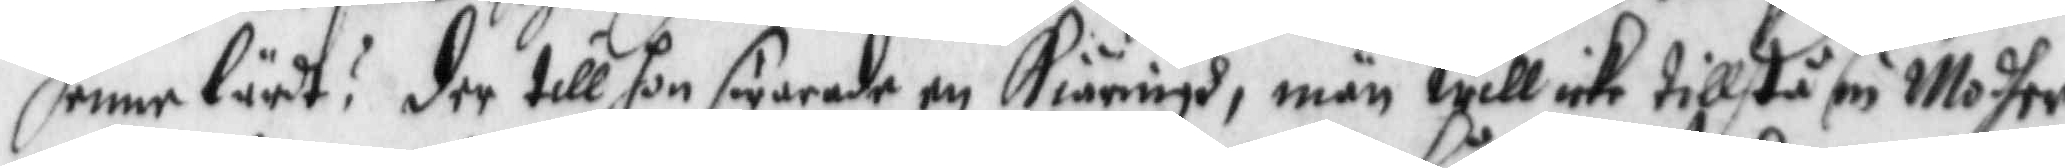henne lärdt? der till hon swarade en Kiäringh, män will icke tillstå sin Modher
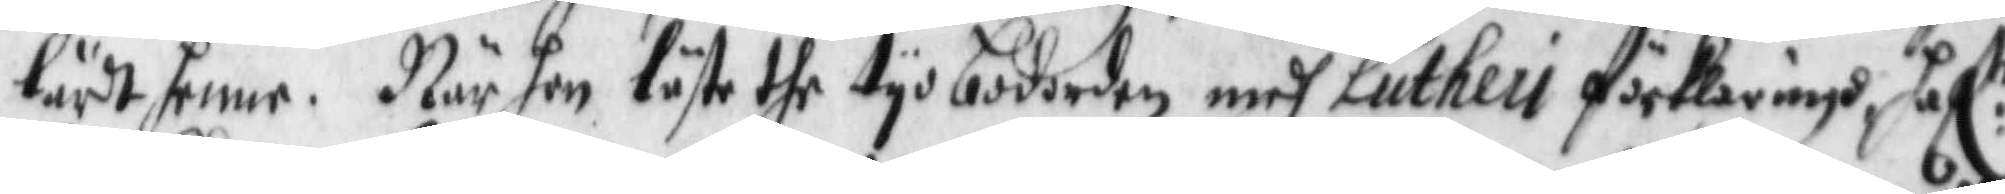lärdt henne. När hon läste the tyo bodorden medh Lutheu förklaringh haf:r
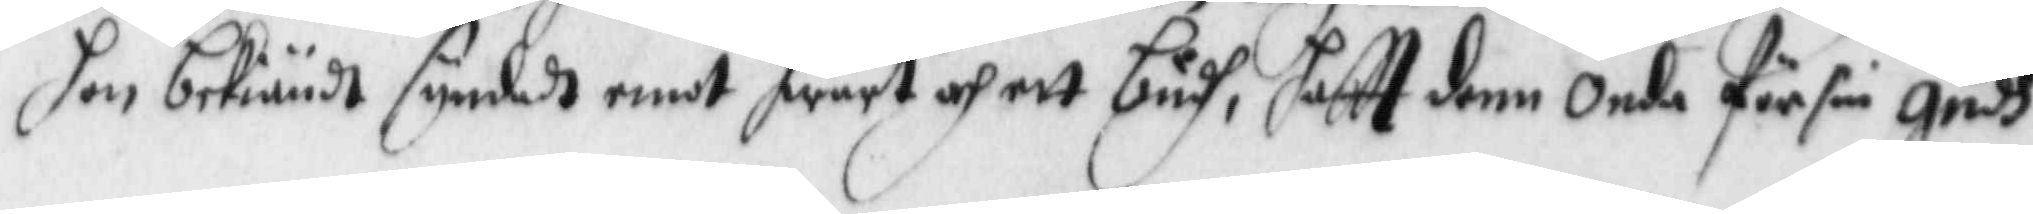hon bekiändt syndadt emot hwart af ett budh, haftt denne onde för sin Gudh
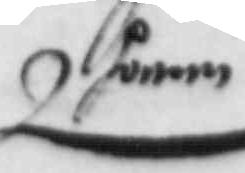honom
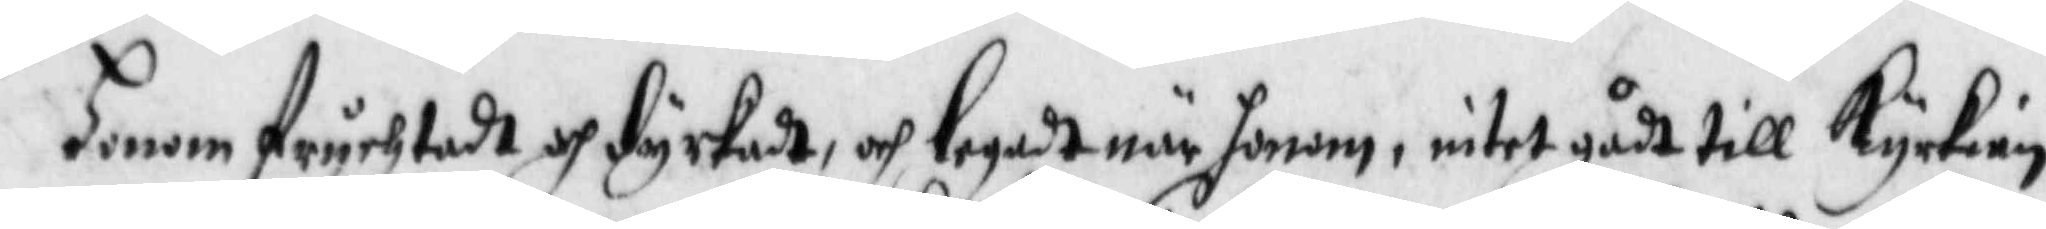honom fruchtadt och dyrkadt, och legadt när honom, intet gådt till Kyrkian,
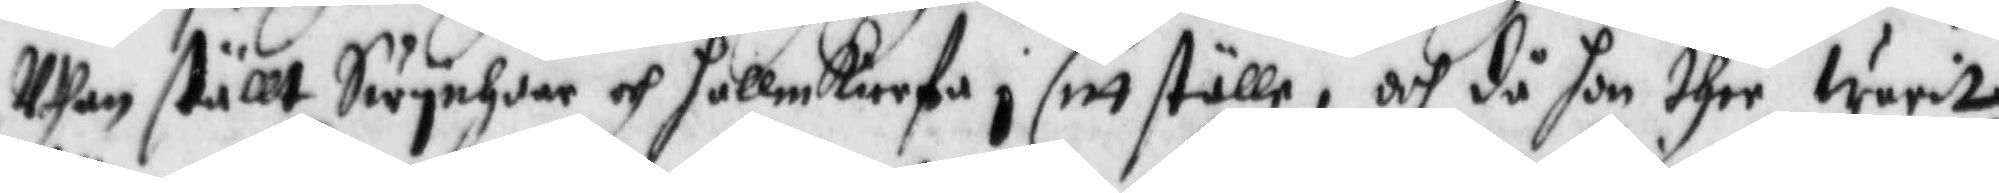Uthan ställt Swynhoar och hallmkierfa i sitt ställe, och då hon ther warit
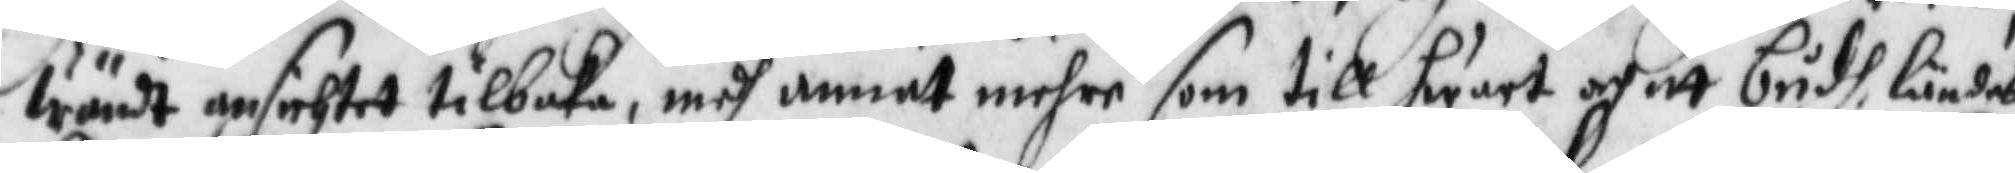wändt ansichtet tilbaka, medh annat mehre som till hwart och itt bridh ländes
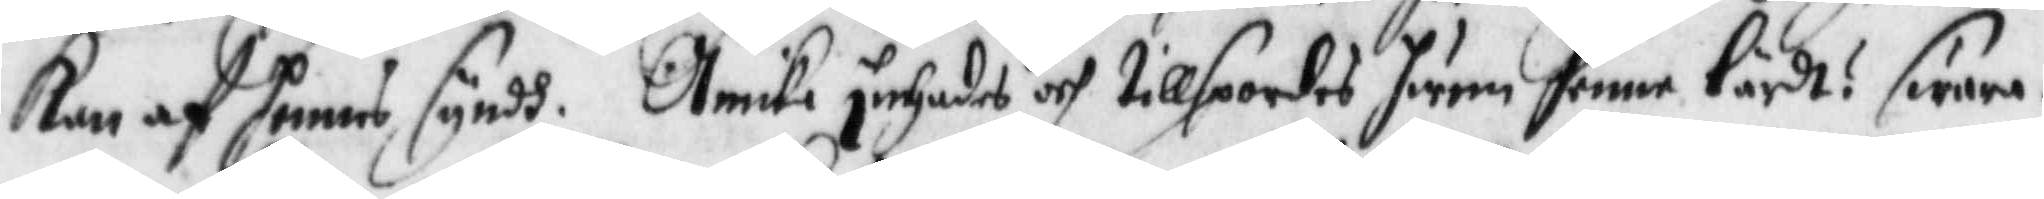Kan af henne syndh. Annika inhades och tillspordes hwem henne lärdt? swara¬
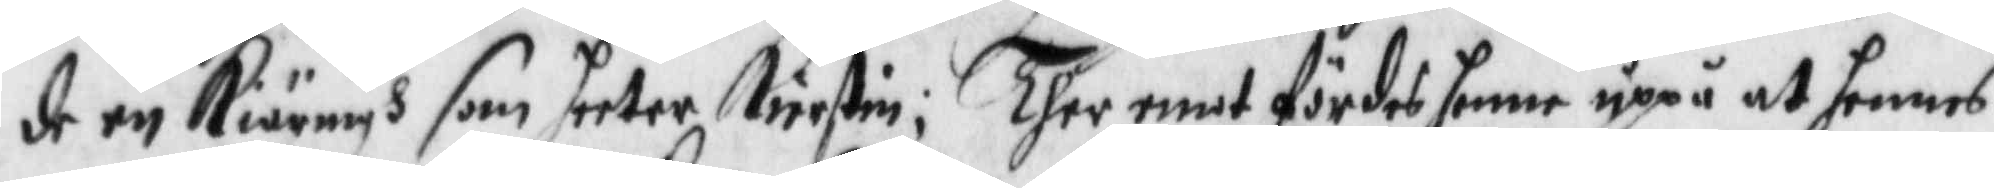de en Kiäringh som heeter Kierstin; Ther emot fördes hennes uppå at hennes
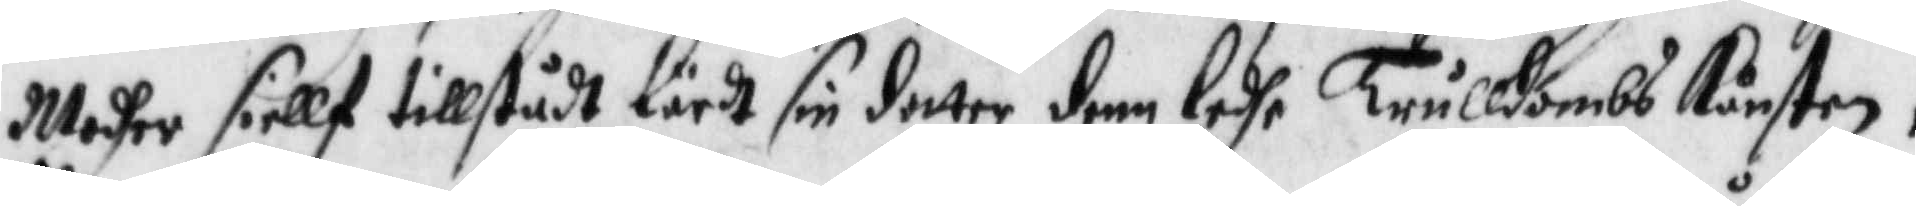Modher siellf tillstådt lärdt sin dotter denn ledhe Trulldombs Kånsten;
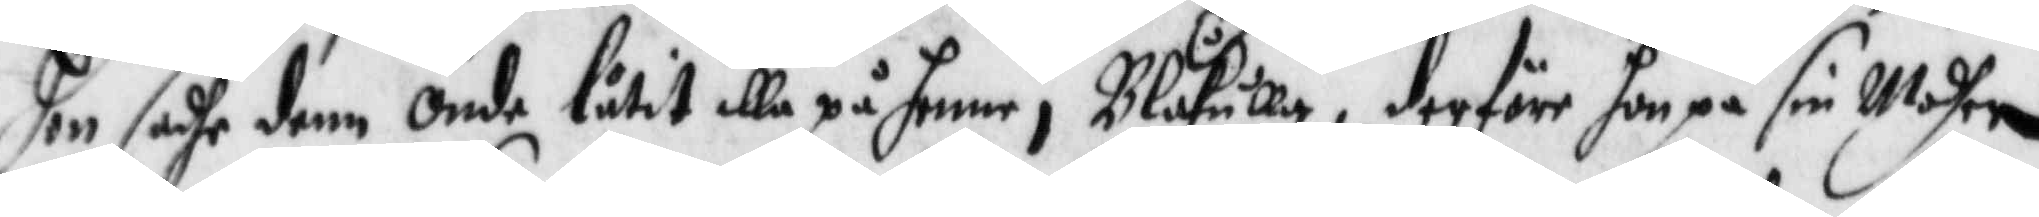hon sadhe denn onde låtit illa på henne i Blåkulla, derföre hon på sin Modher
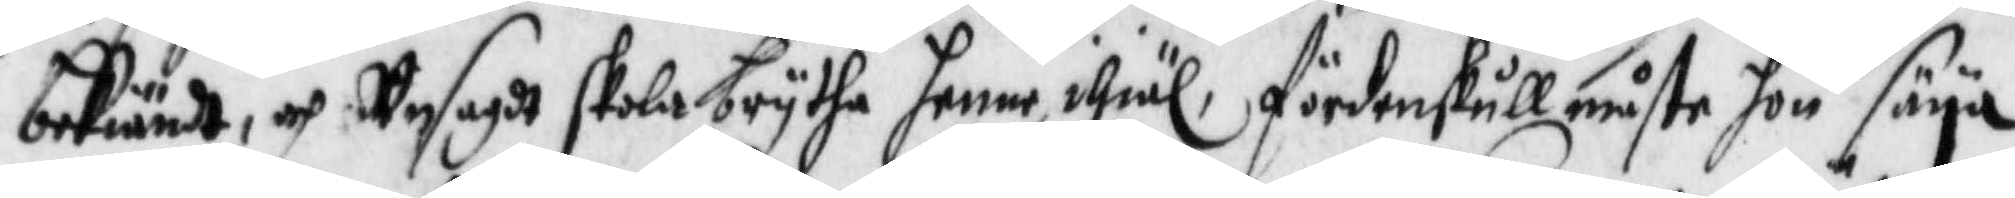bekiändt, och Unsagdt skola brytha henne ihiä, fördenskull måste hon säya
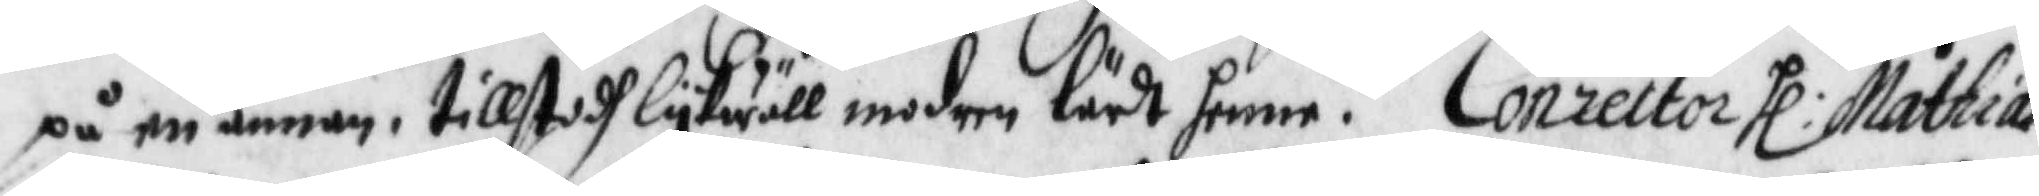på en annan, tillstodh lykwäll modern lärdt henne. Conrector Hl:r Mathias
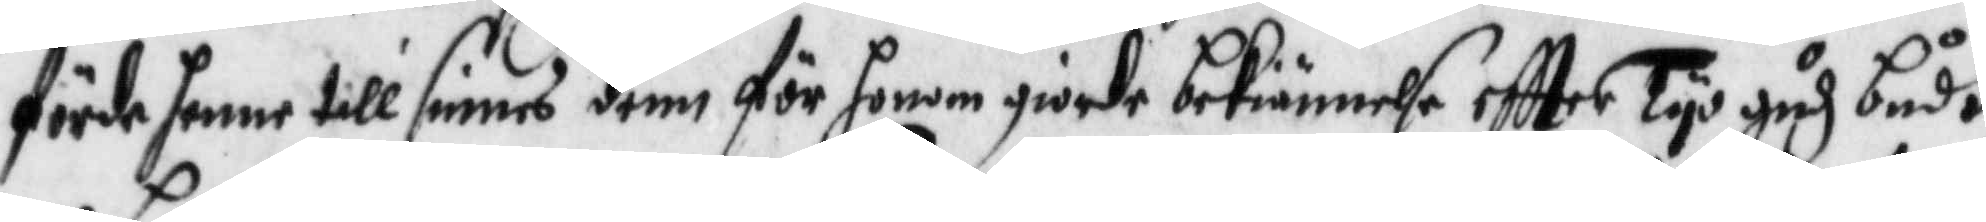förde henne till sinnes denn för honom giorde bekiännelse eftter Tyo gudz budh,
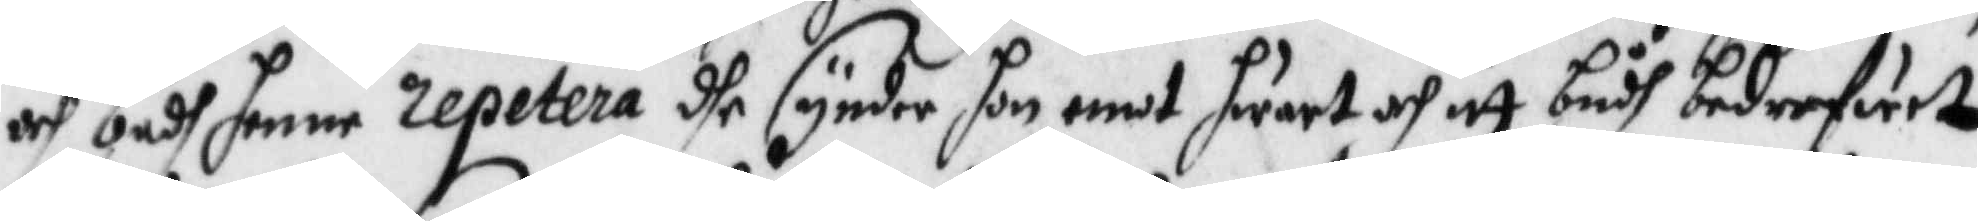och badh henne repetera dhe synder hon emot hwart och itt budh bederfuret
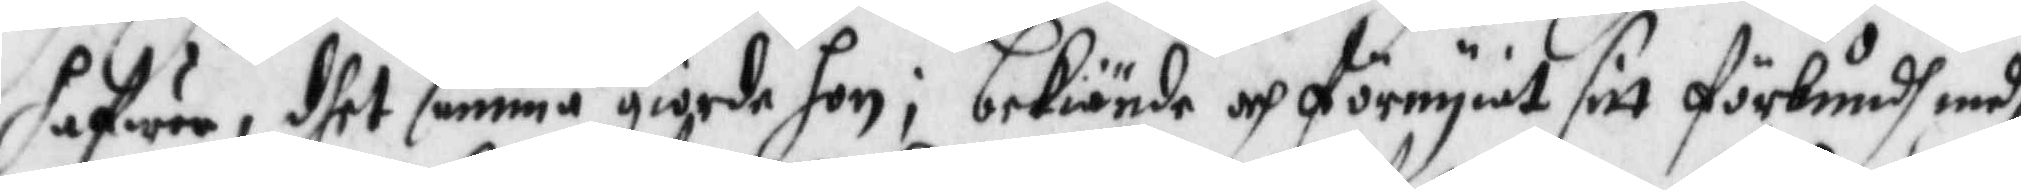hafwer, dhet samma giorde hon; bekiände och förnyat sitt förbundh medh
